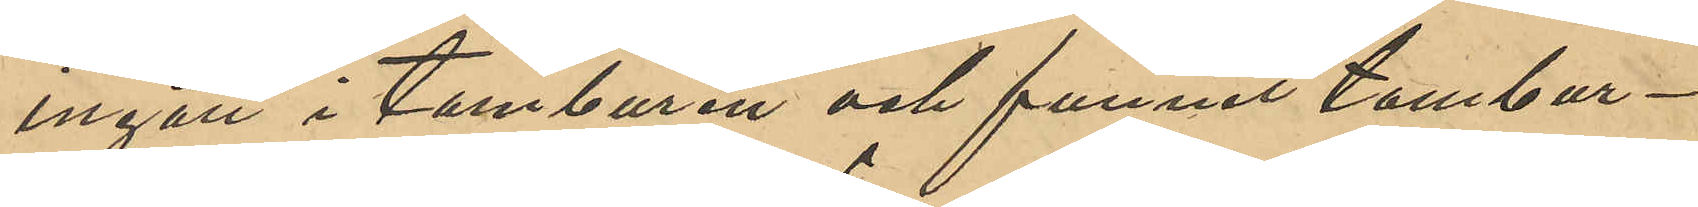ingått i tamburen och funnit tambur¬
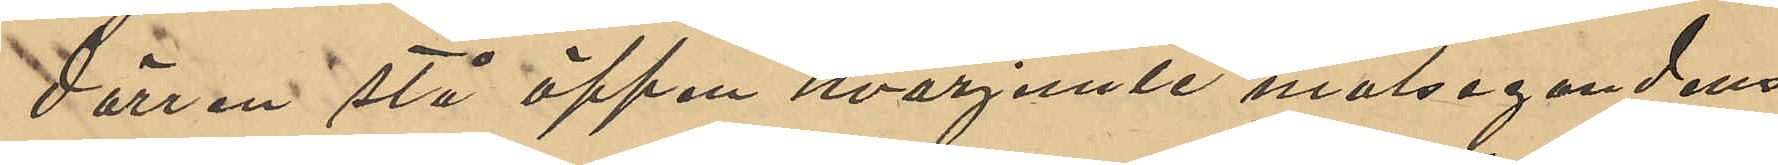dörren stå öppen hvarjemte målsegandens
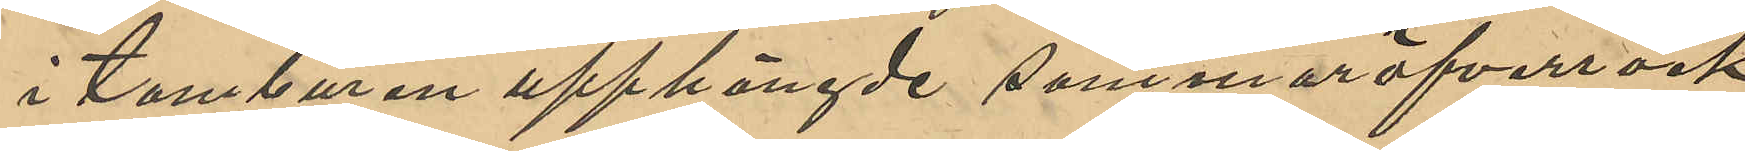i tamburen upphängda sommaröfverrock
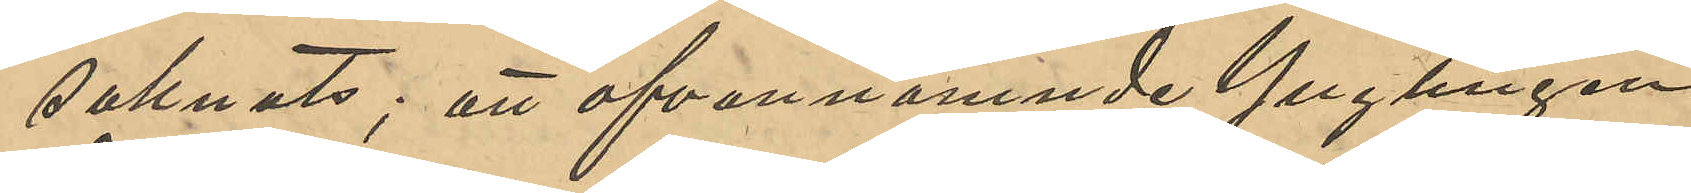saknats; att ofvannämnde Ynglingen
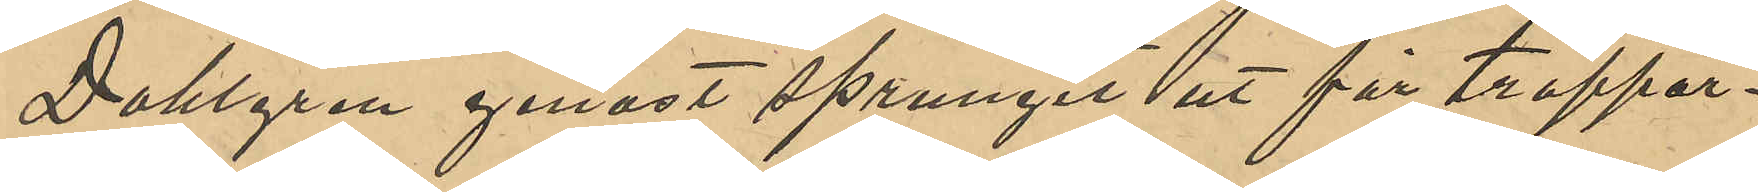Dahlgren genast sprungit ut för trappor¬
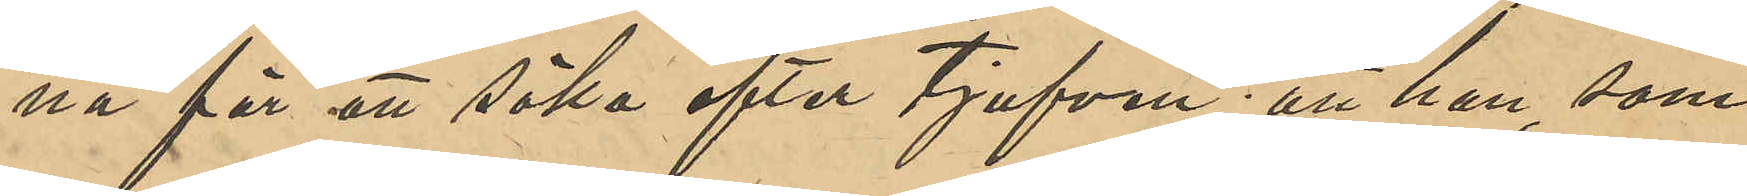na för att söka efter tjufven; att han som
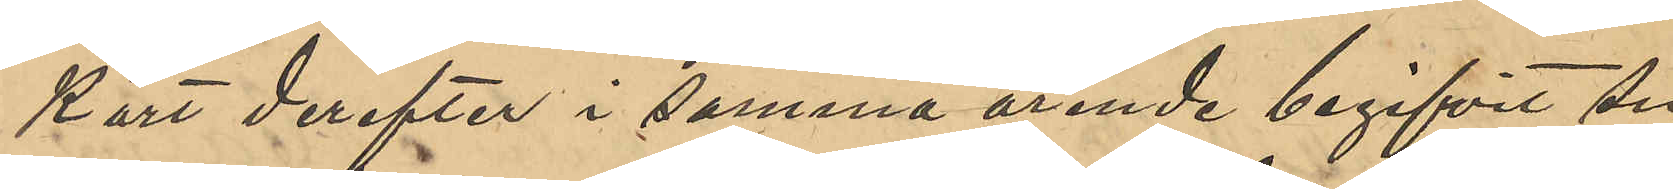kort derefter i samma ärende begifvit sig
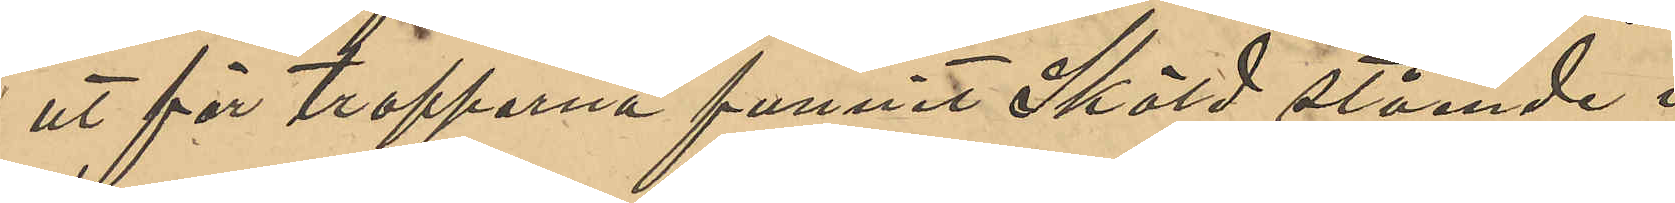ut för trapporna funnit Sköld stående i
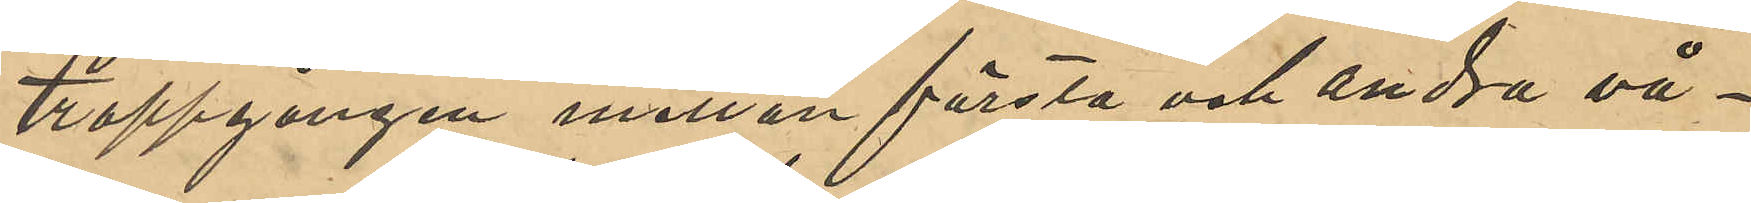trappgången mellan första och andra vå¬
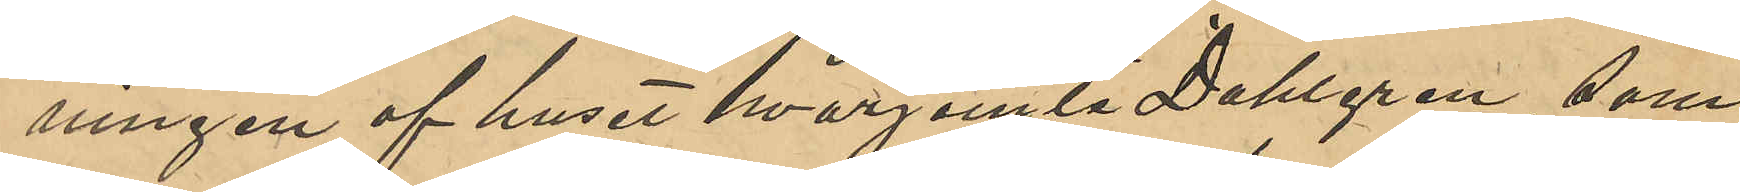ningen af huset hvarjemte Dahlgren, som
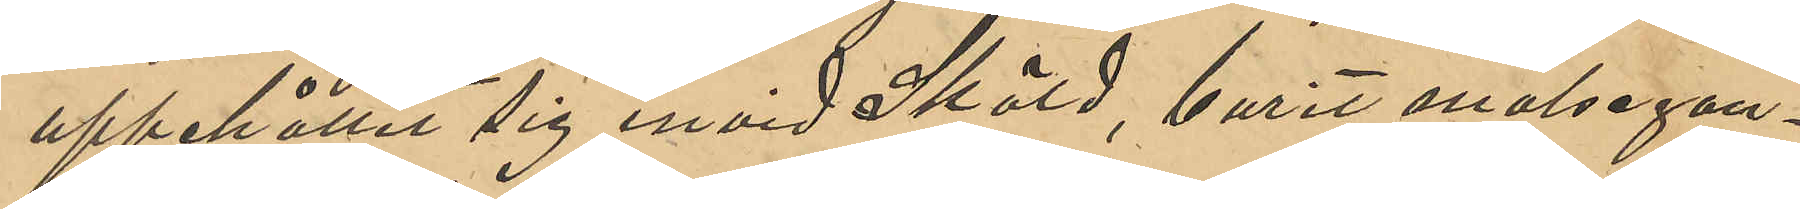uppehållit sig invid Sköld, burit målsegan¬
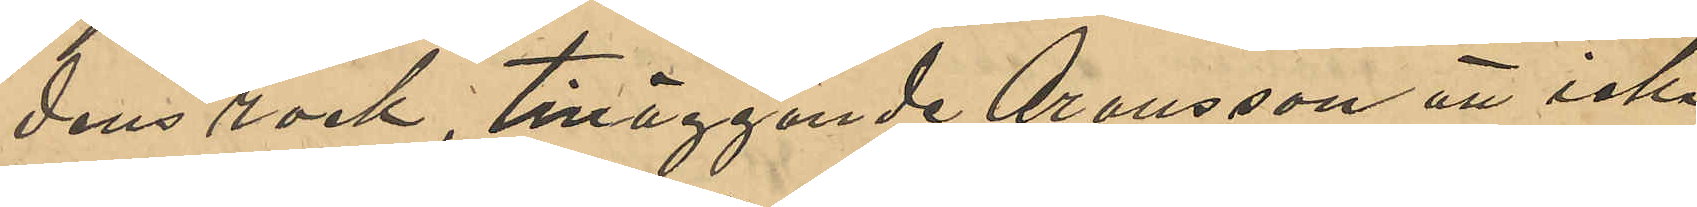dens rock, tilläggande Aronsson att icke
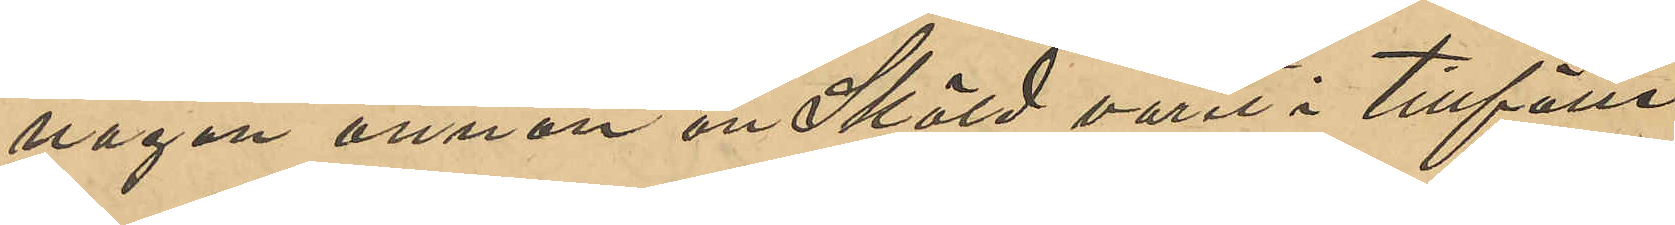någon annan än Sköld varit i tillfälle
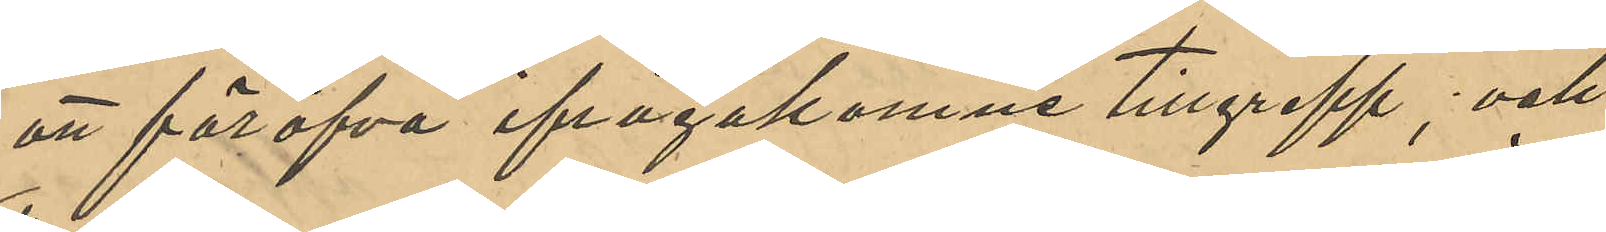att föröfva ifrågakomne tillgrepp; och
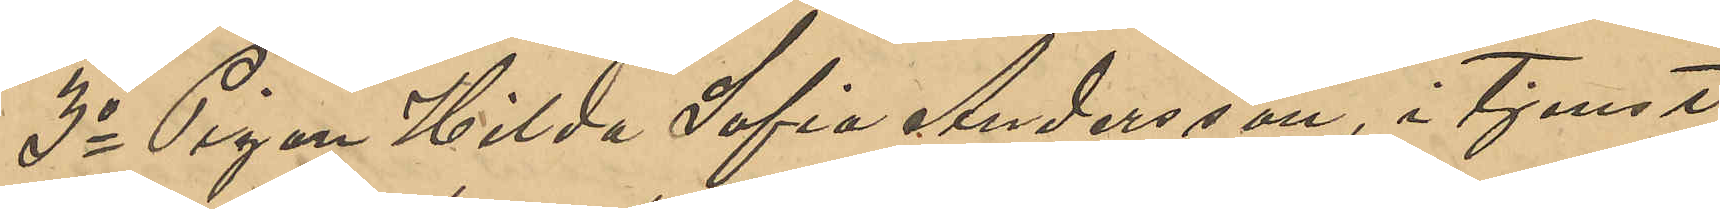3o Pigan Hilda Sofia Andersson, i Tjenst
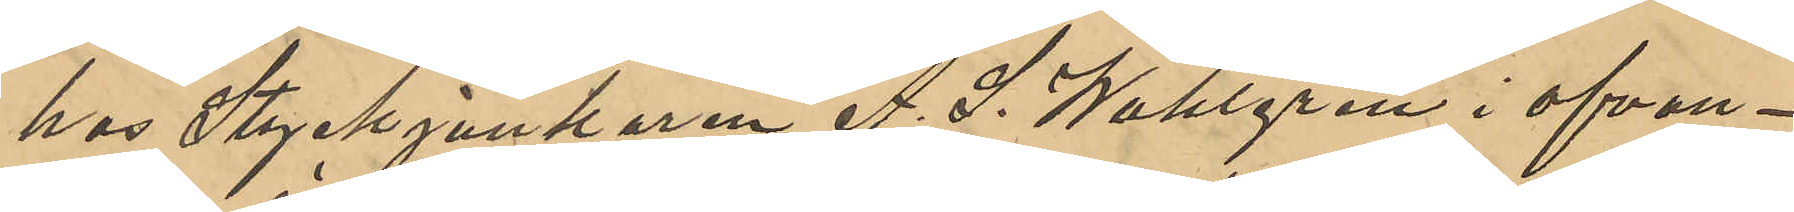hos Styckjunkaren A. S. Wahlgren i ofvan¬
